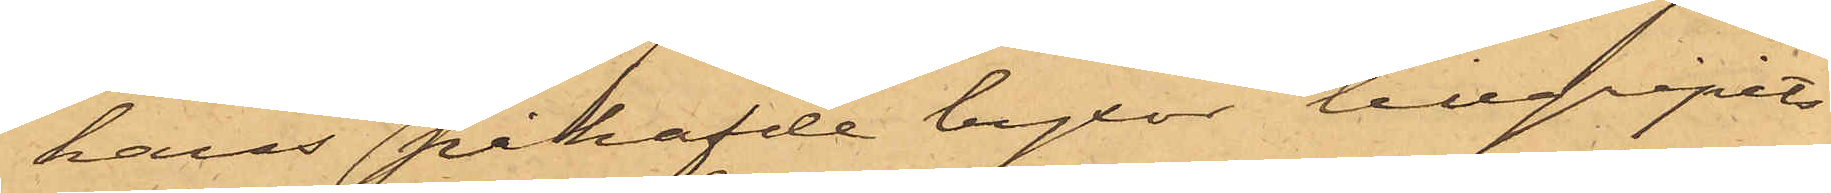hans påhafde byxor tillgripits
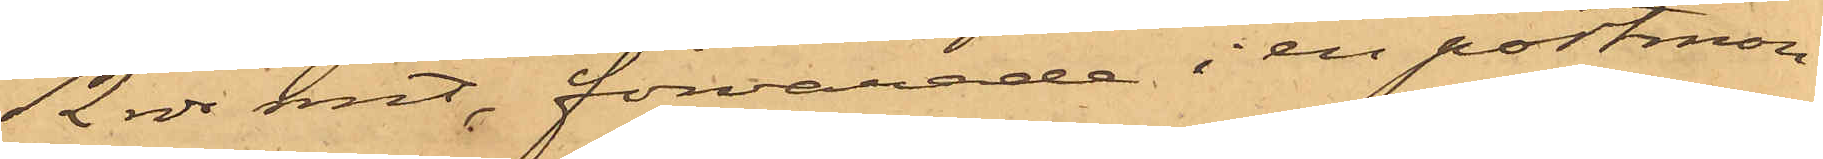12 rdr rmt, förvarade i en portmon¬
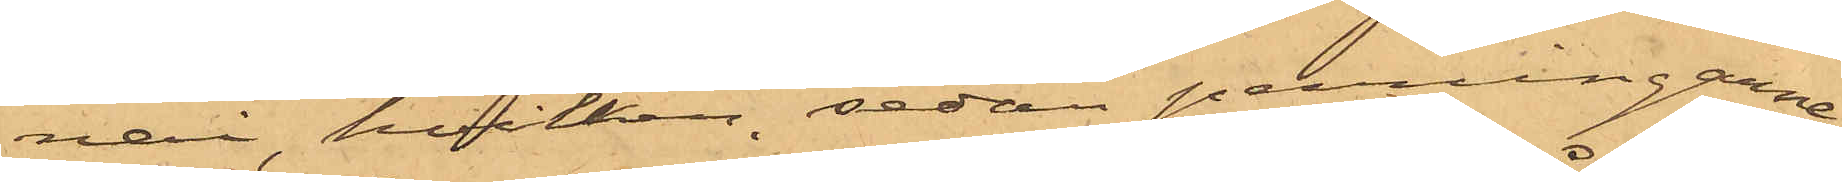nai, hvilken, sedan penningarne
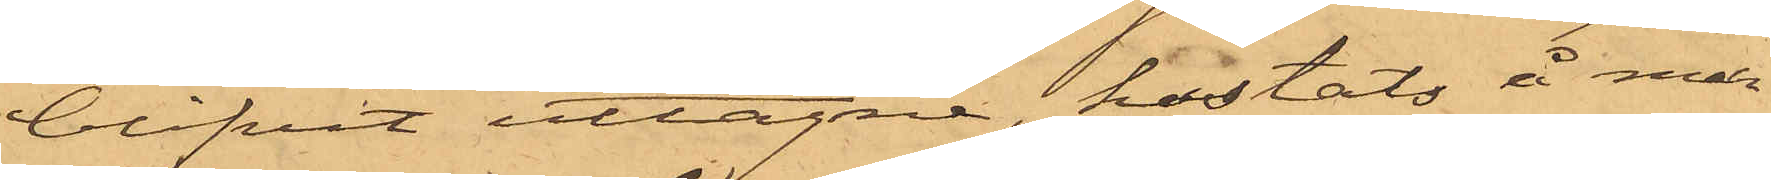blifvit uttagne, kastats å mar¬
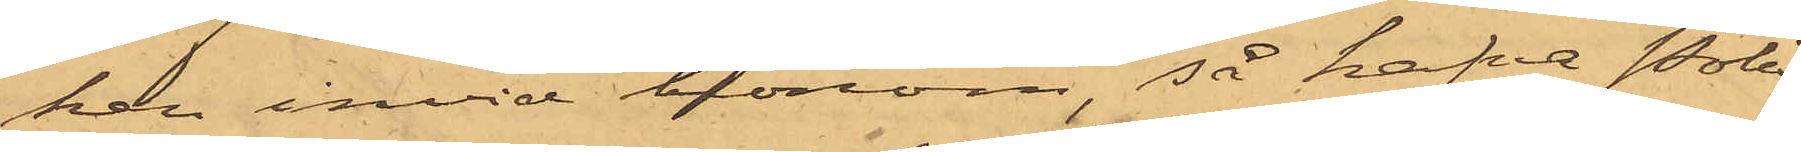ken invid honom, så hafva Polis¬
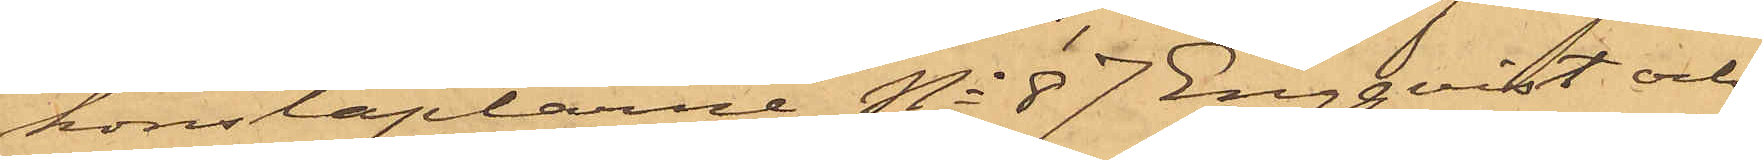konstaplarne No 87 Engqvist och
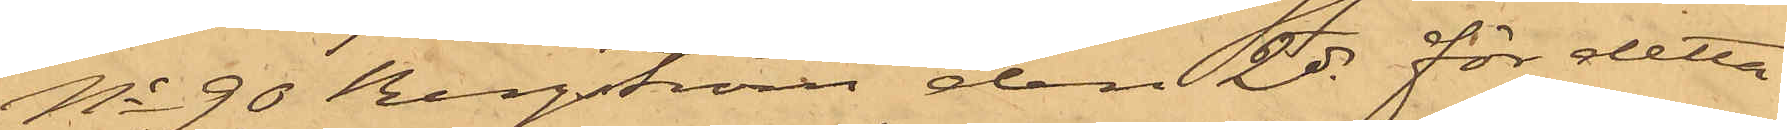No 90 Bergström den 2 ds för detta
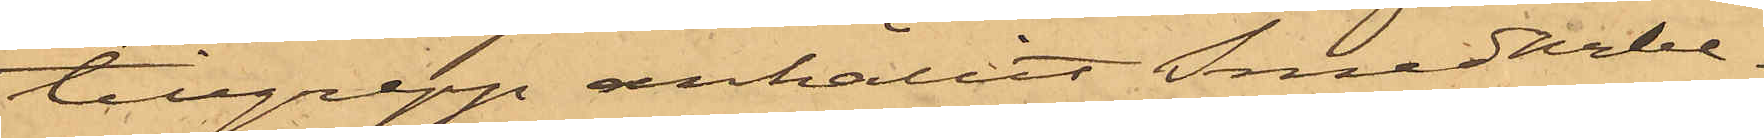tillgrepp anhållit Smedarbe¬
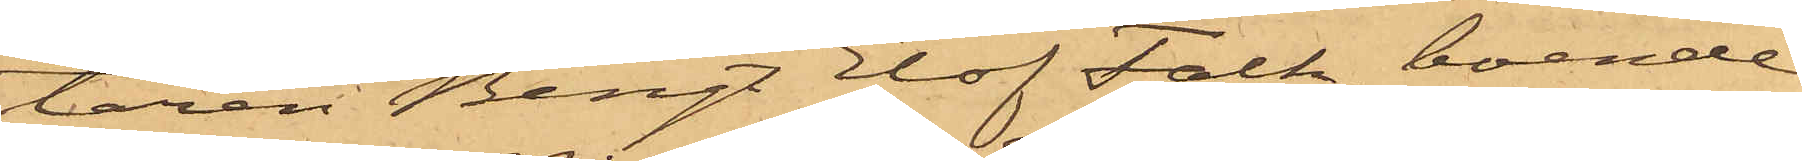taren Bengt Elof Falk, boende
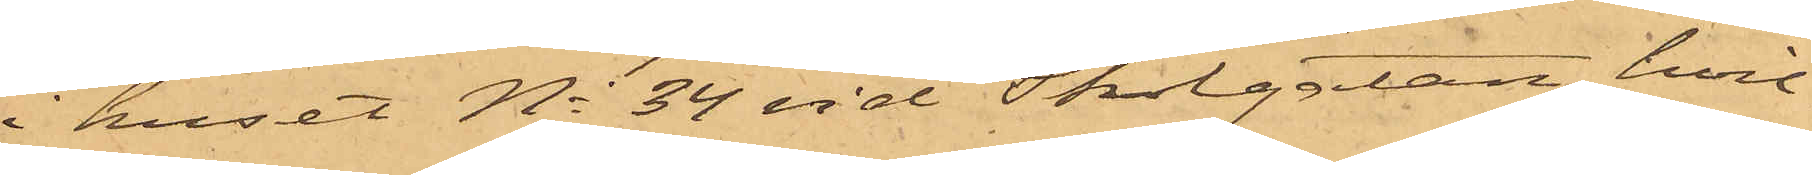i huset No 34 vid Skolgatan, hvil¬
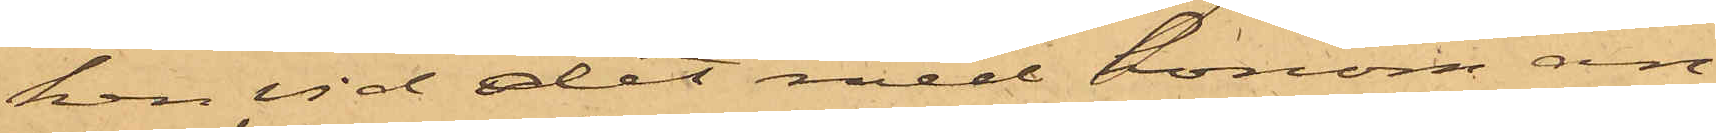ken vid det med honom an¬
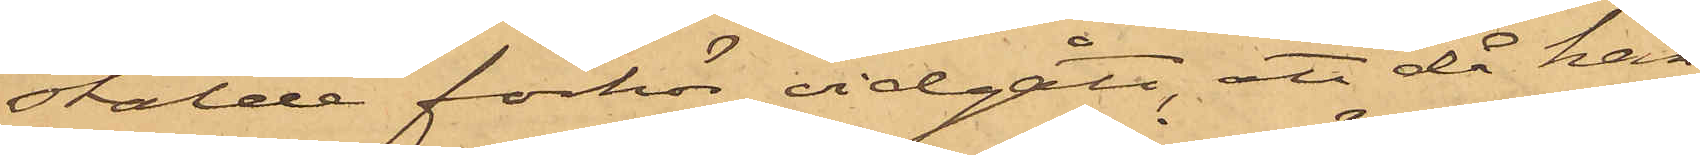stälde förhör vidgått, att då han
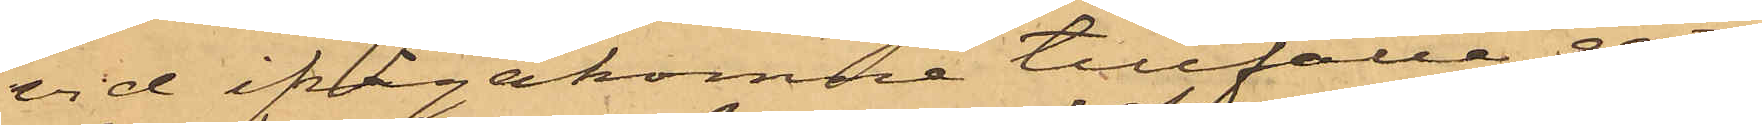vid ifrågakomne tillfälle gått
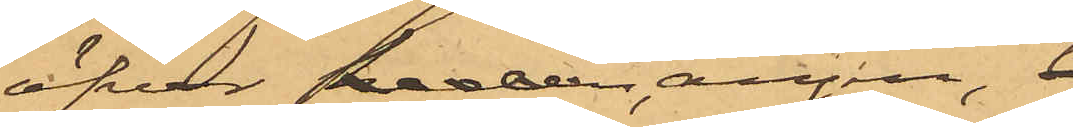öfver heden ängen,
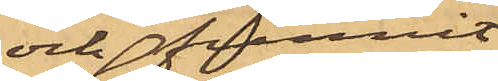och funnit
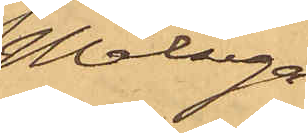Målsega¬
